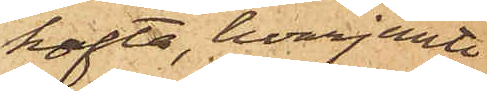kofta, hvarjemte
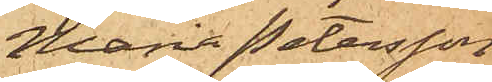Maria Petersson
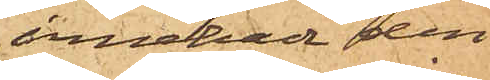innehade den
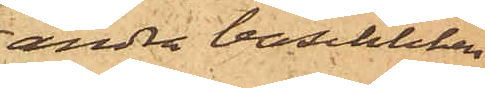andra baschliken
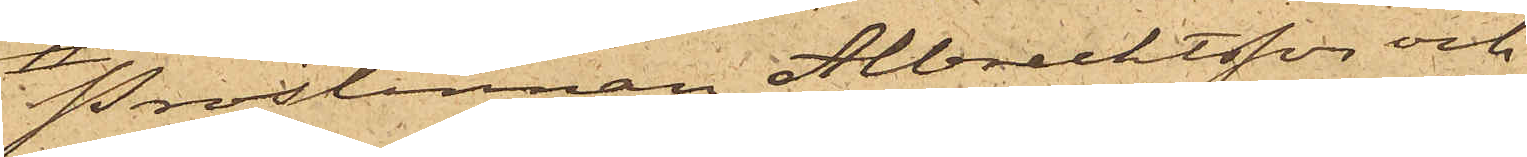Prostinnan Albrechtsson och
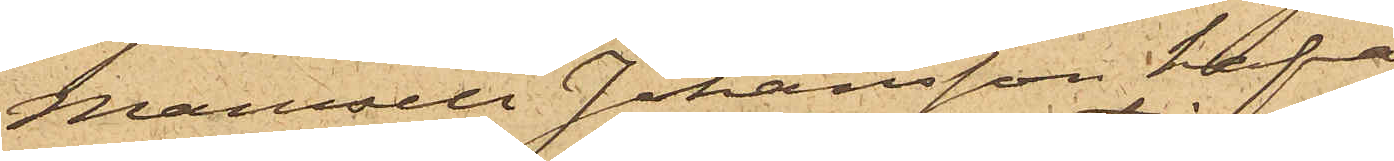Mamsell Johansson hafva
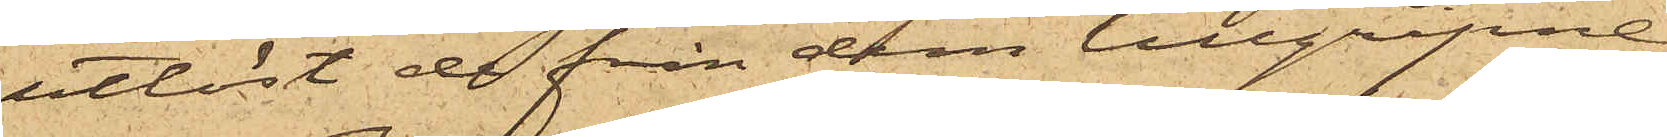utlöst de från dem tillgripne
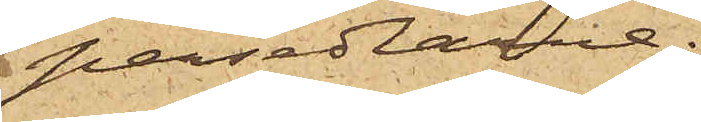persedlarne.
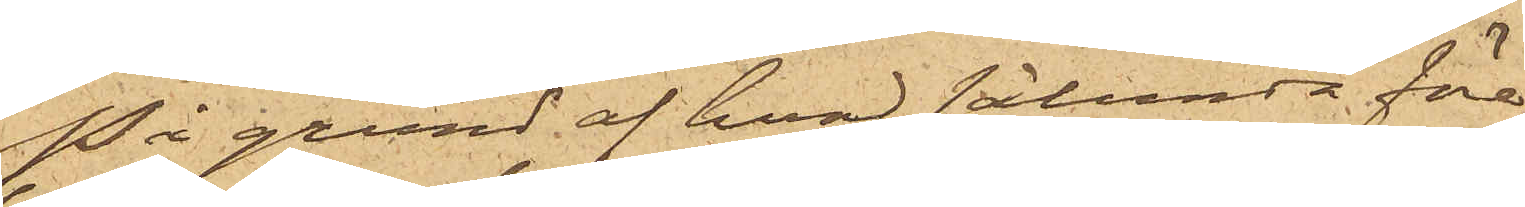På grund af hvad sålunda före¬
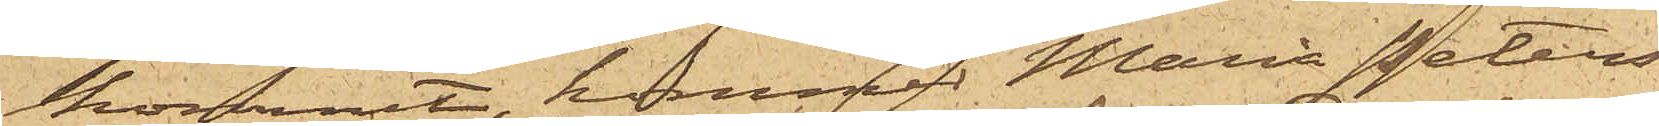kommit, kommer Maria Peters¬
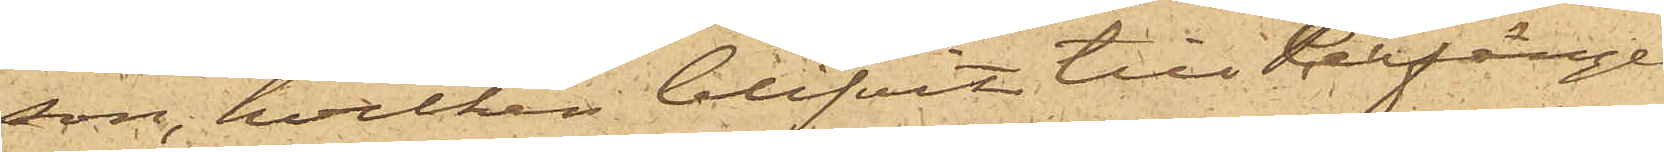son, hvilken blifvit till Cellfängel¬
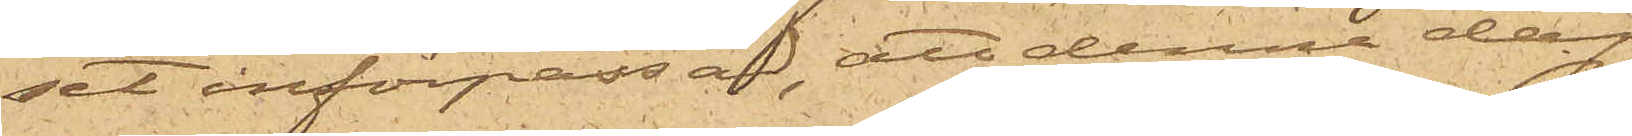set införpassad, att denna dag
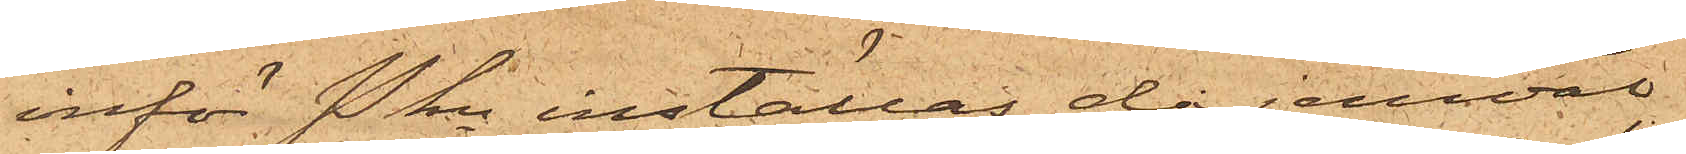inför Pkn inställas, då jemväl
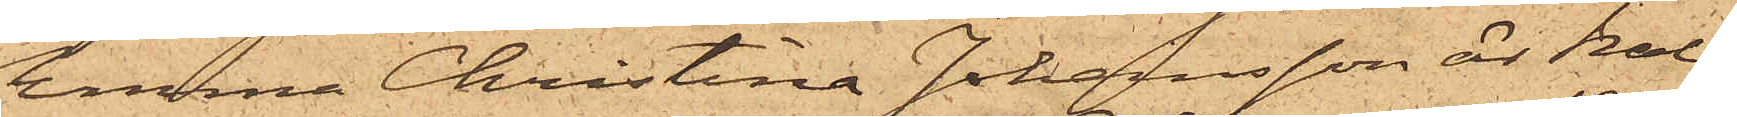Emma Christina Johansson är kal¬
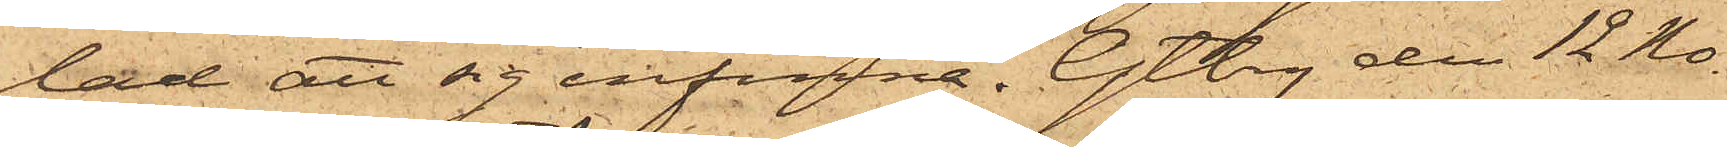lad att sig infinna. Gtbg den 12 No¬
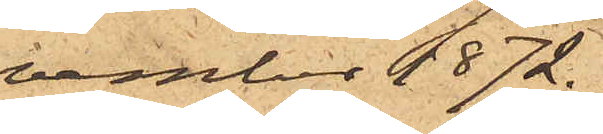vember 1872.
